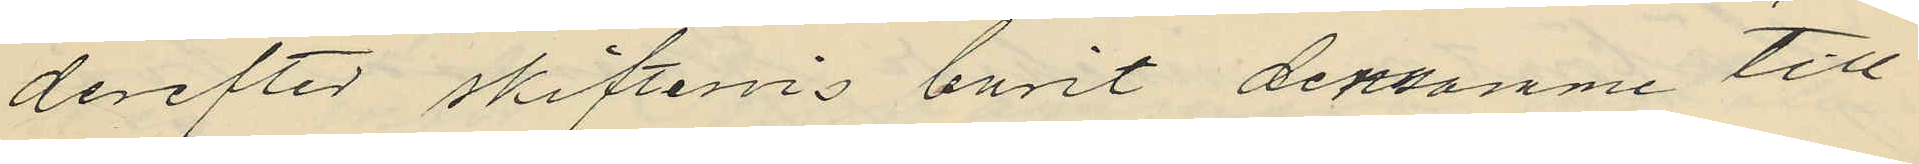derefter skiftesvis burit densamme till
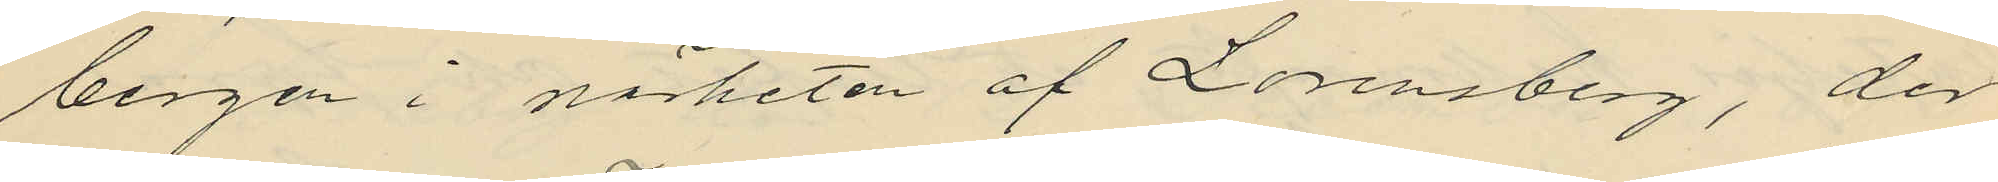bergen i närheten af Lorensberg, der
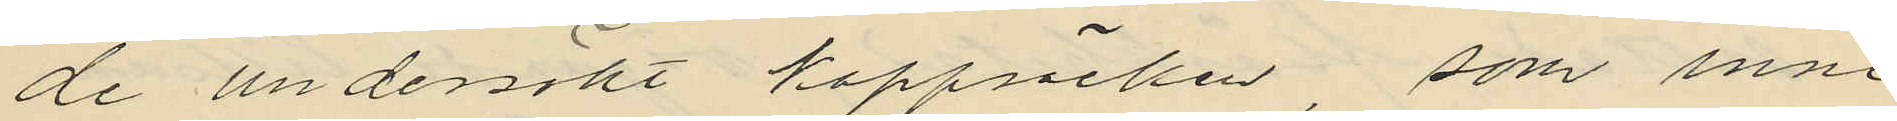de undersökt kappsäcken, som inne¬
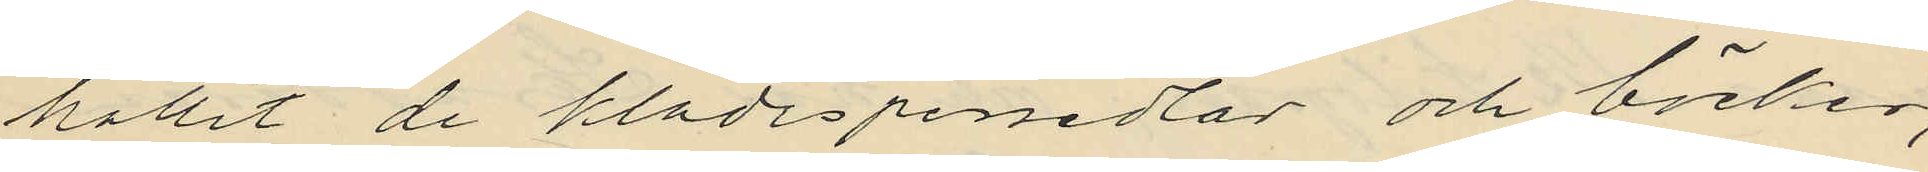hållit de klädespersedlar och böcker,
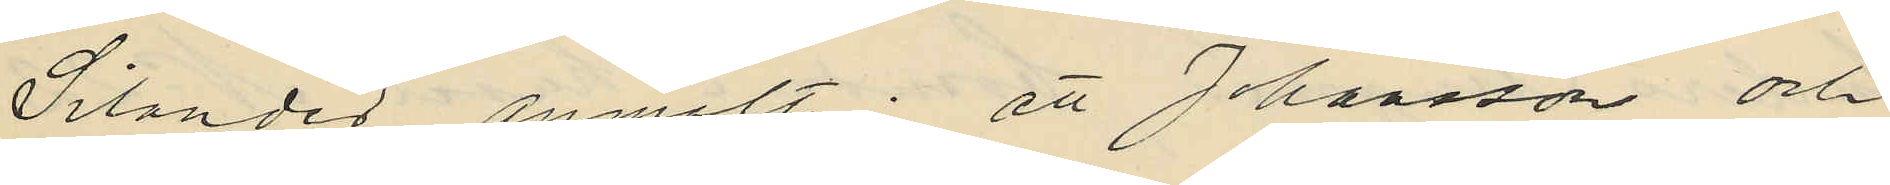Silander anmält: att Johansson och
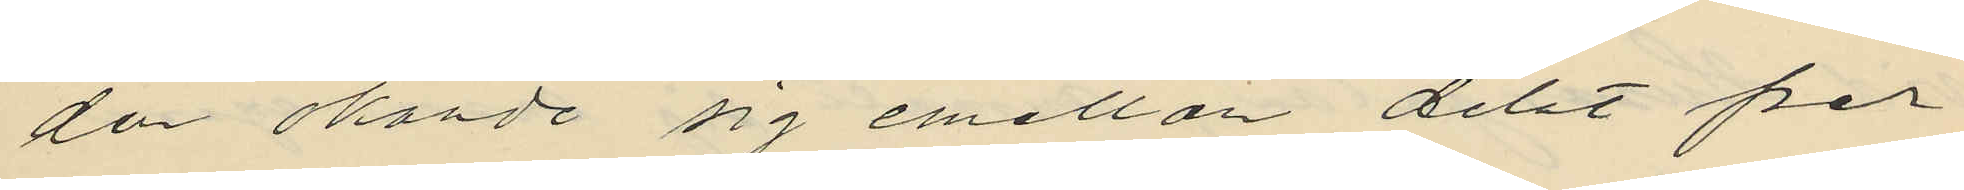den okände sig emellan delat per
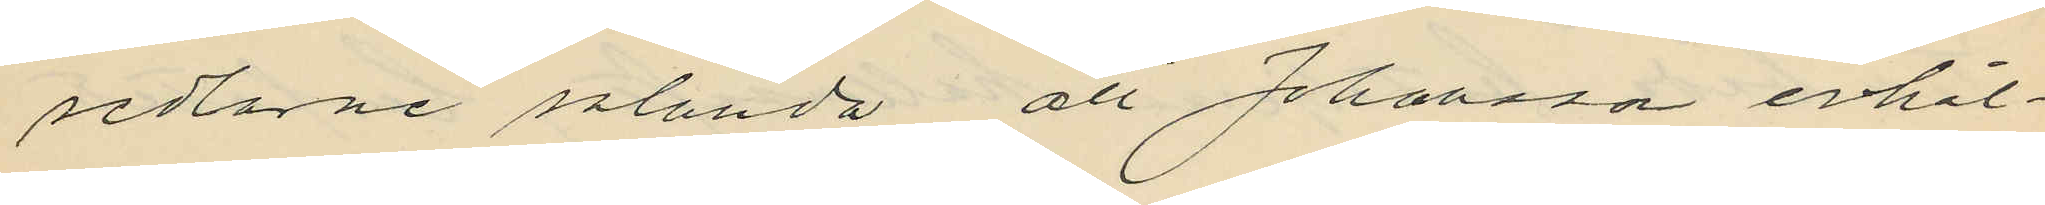sedlarne sålunda att Johansson erhål¬
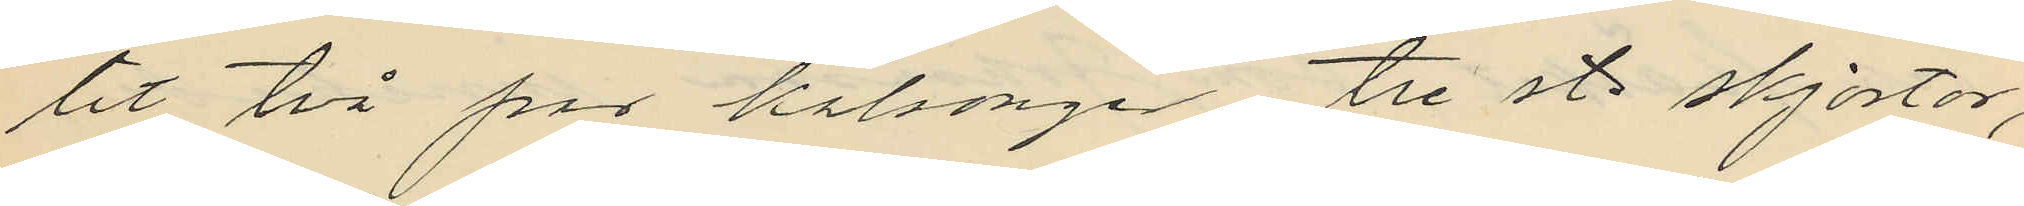lit två par kalsonger tre st. skjortor,
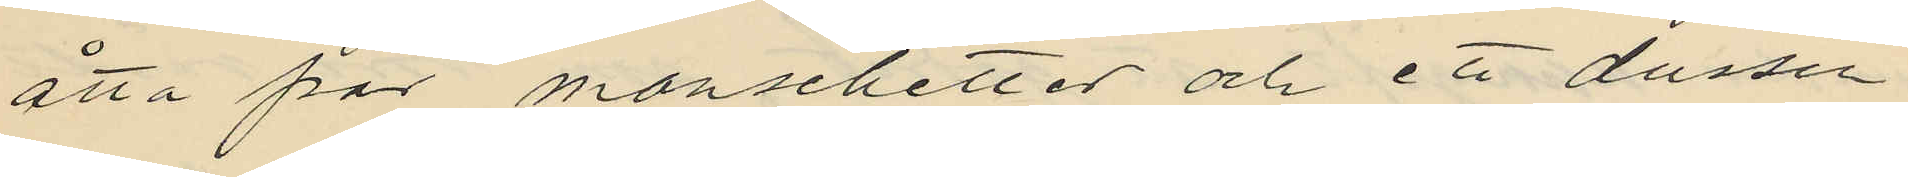åtta par manschetter och ett dussin
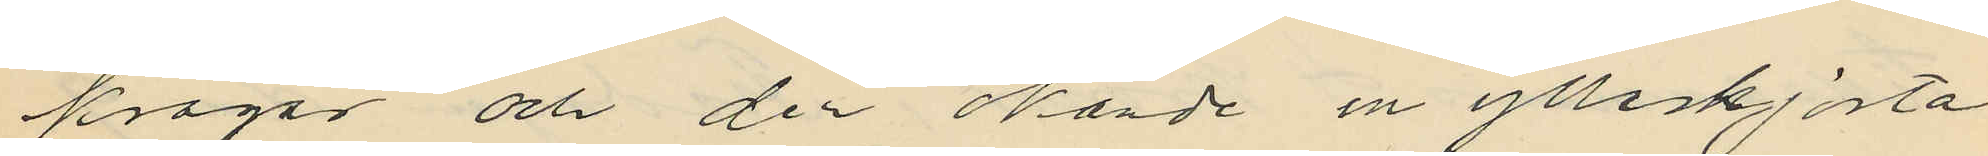kragar och den okände en ylleskjorta
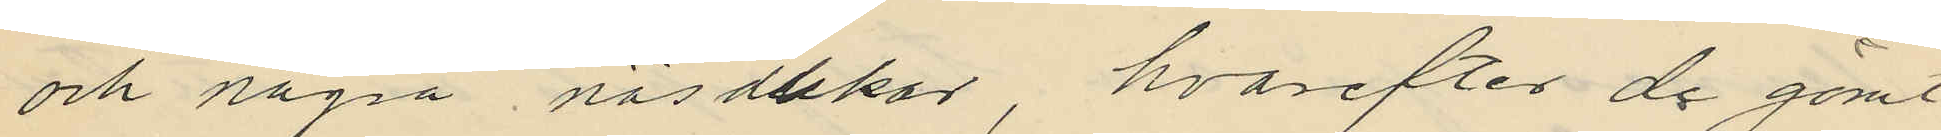och några näsdukar, hvarefter de gömt
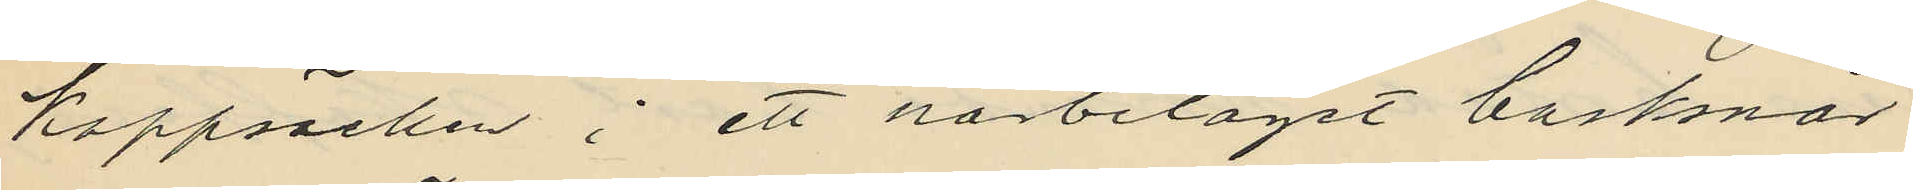kappsäcken i ett närbelaget busksnår
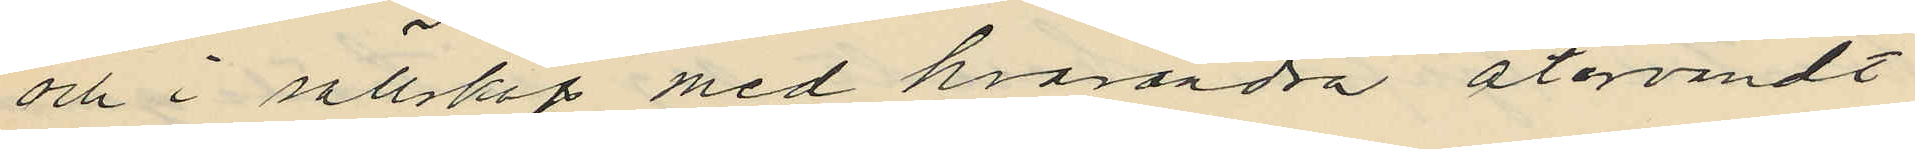och i sällskap med hvarandra återvändt
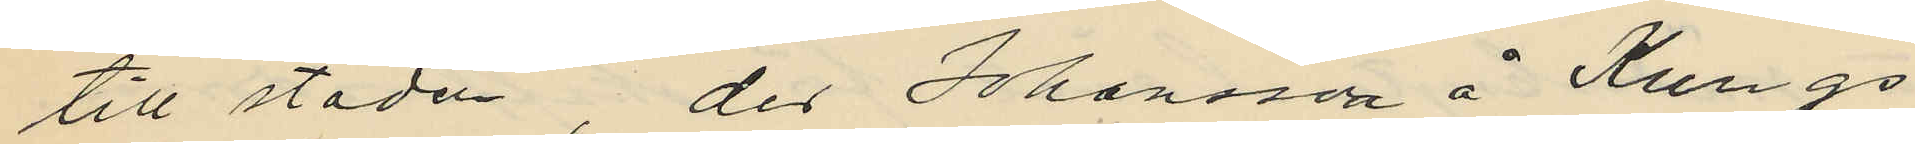till staden, der Johansson å Kungs¬
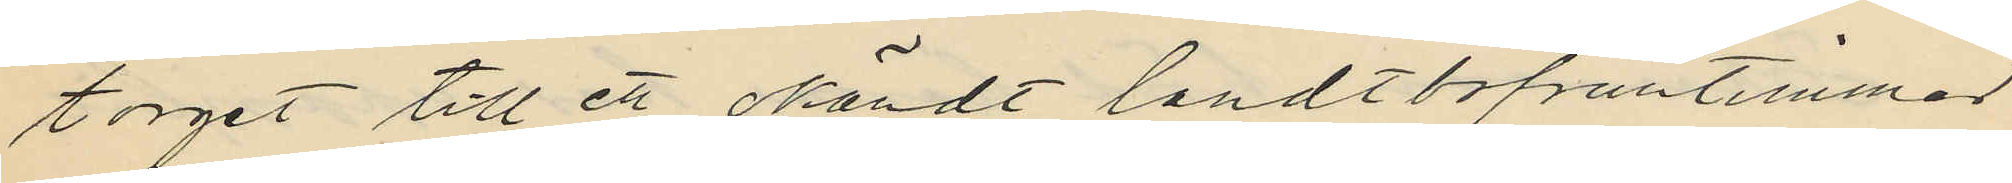torget till ett okändt landtbofruntimmer
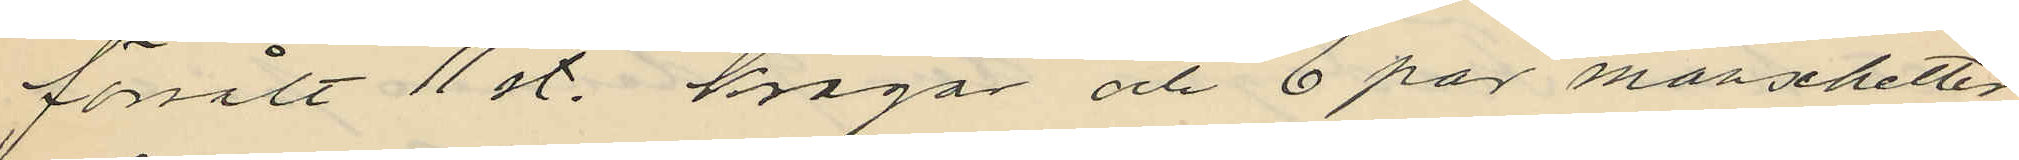försålt 11 st. kragar och 6 par manschetter
